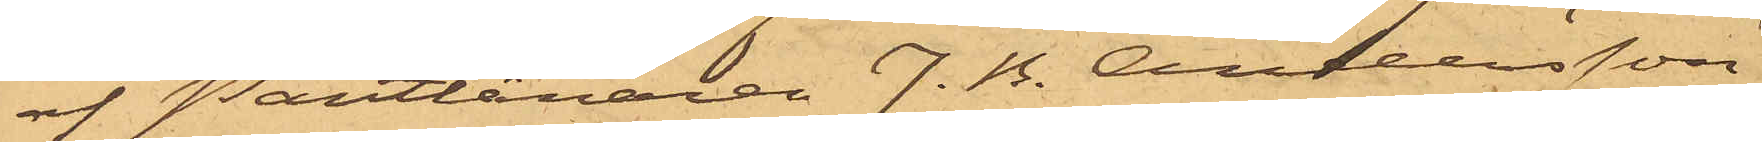af Pantlånaren J. B. Andersson
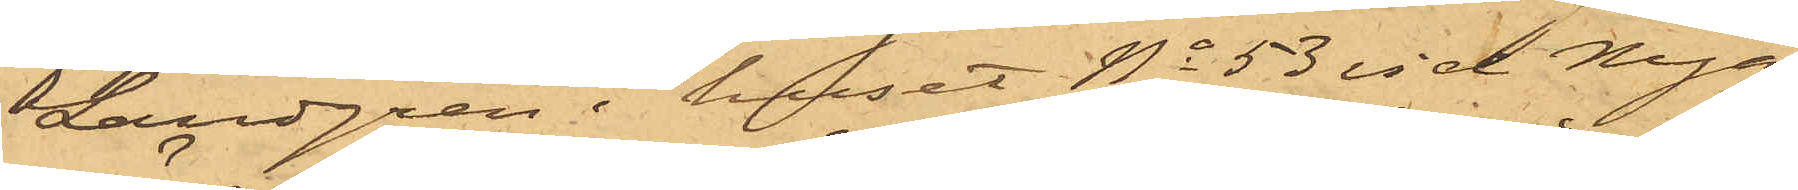Lundgren i huset No 53 vid Nya
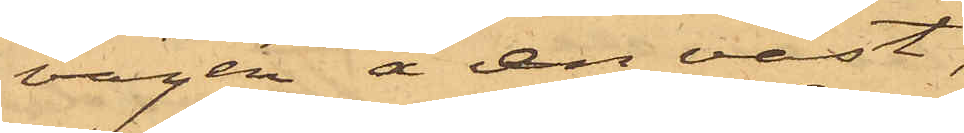vägen å en väst,
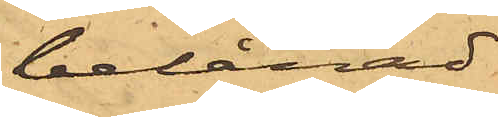belånad
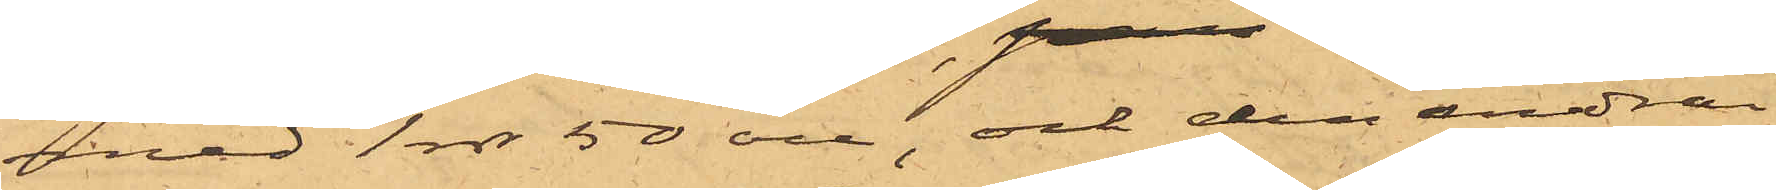med 1 rdr 50 öre, och den andra
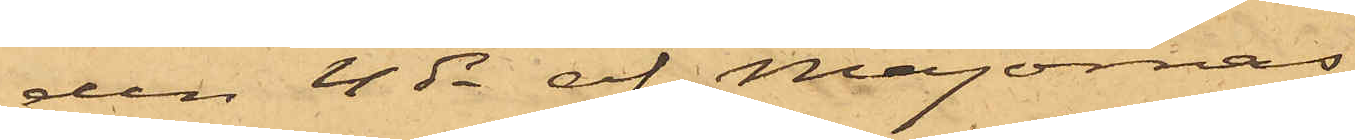den 4 ds af Majornas
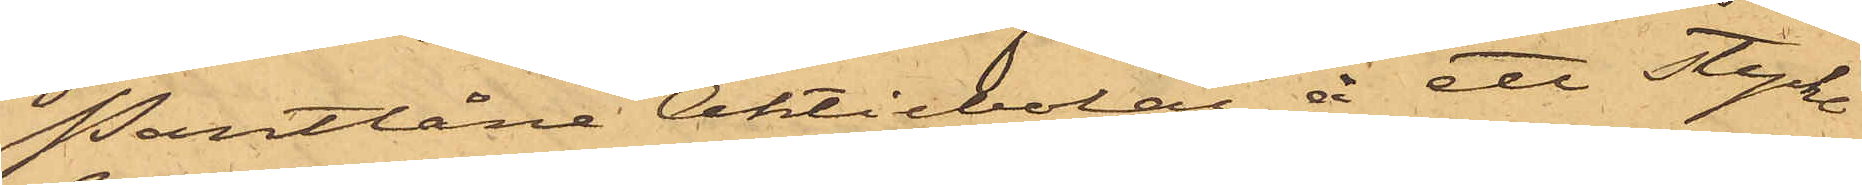Pantlåne Aktiebolag å ett stycke
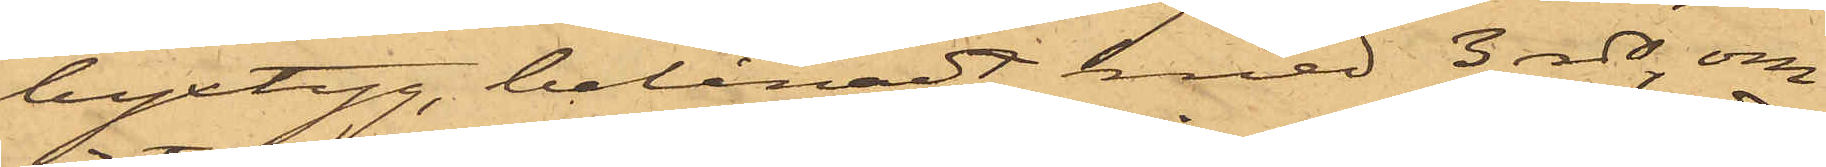byxtyg, belånadt med 3 rdr, om
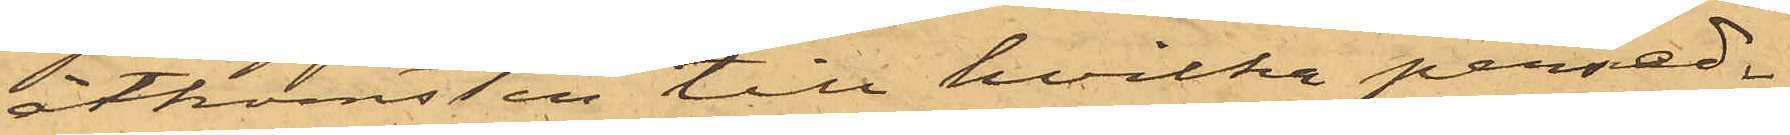åtkomsten till hvilka persed¬
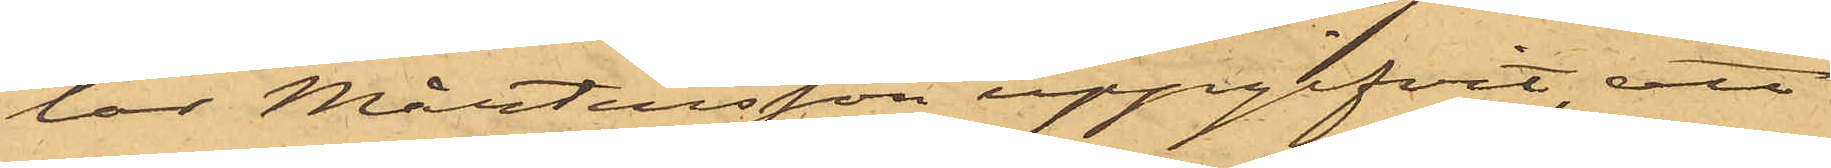lar Mårtensson uppgifvit, att
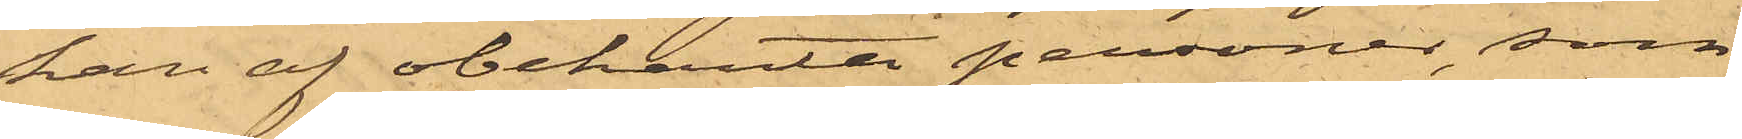han af obekanta personer, som
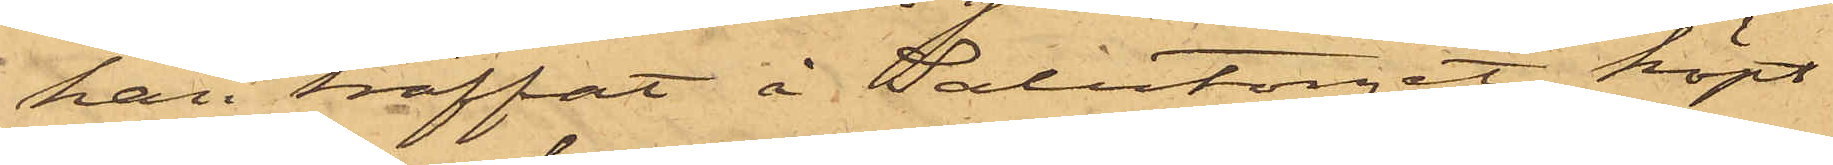han träffat å Salutorget, köpt
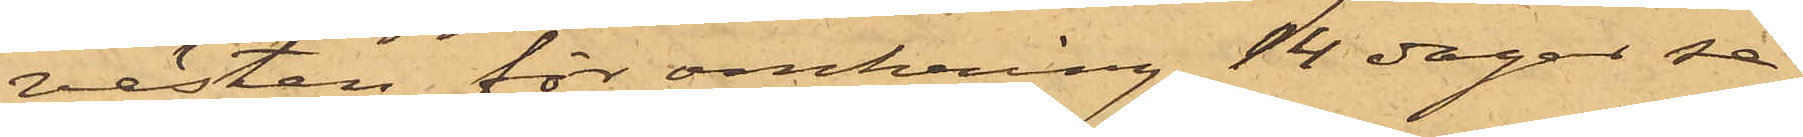västen för omkring 14 dagar se¬
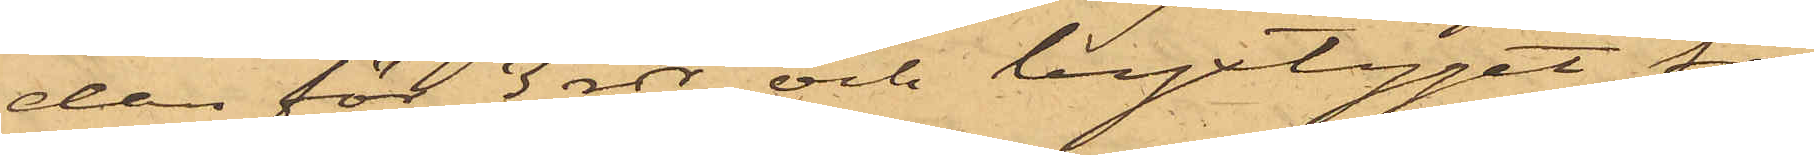dan för 3 rdr och byxtyget för
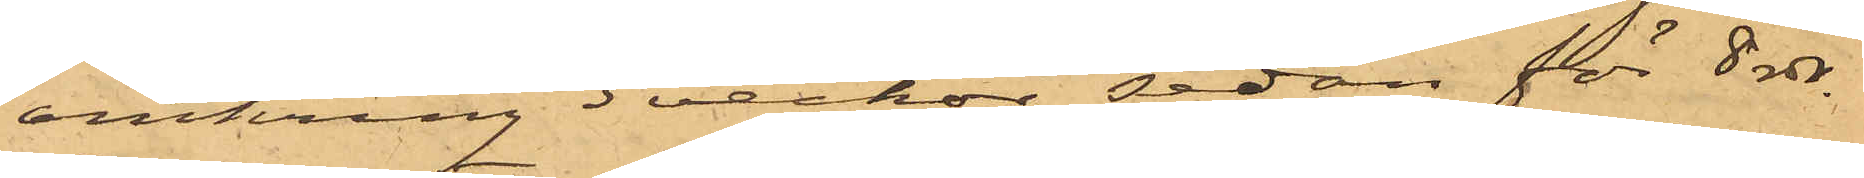omkring 3 veckor sedan för 8 rdr.
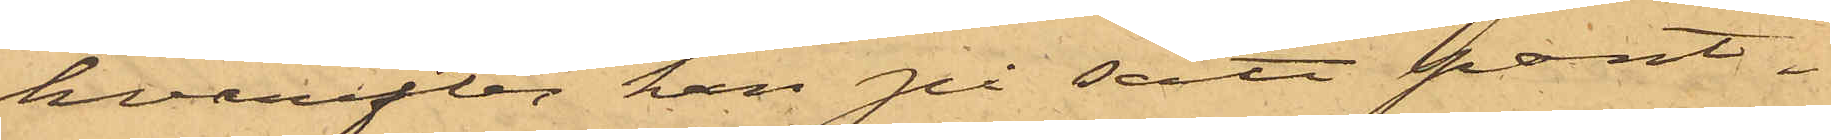hvarefter han på sätt pant¬
